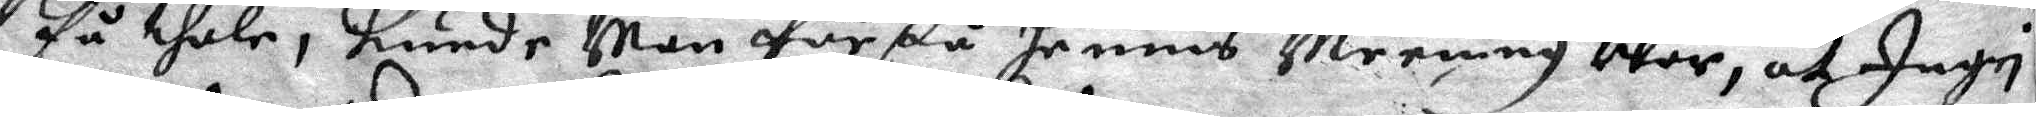få thale, kunde Man förstå hennes Meening War, at Ingri
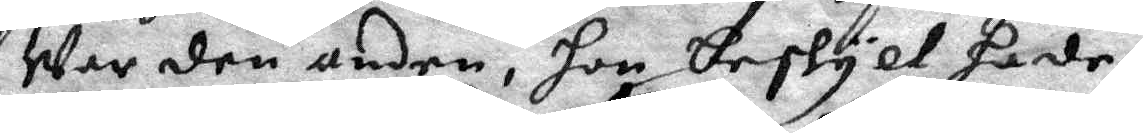War den andre, hon beskylt hade,
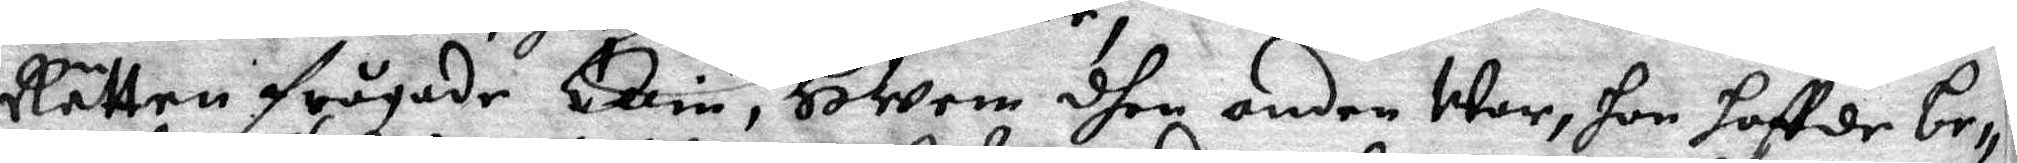Rätten frågade Ellin, Hwem dhen andre War, hon haffde be¬
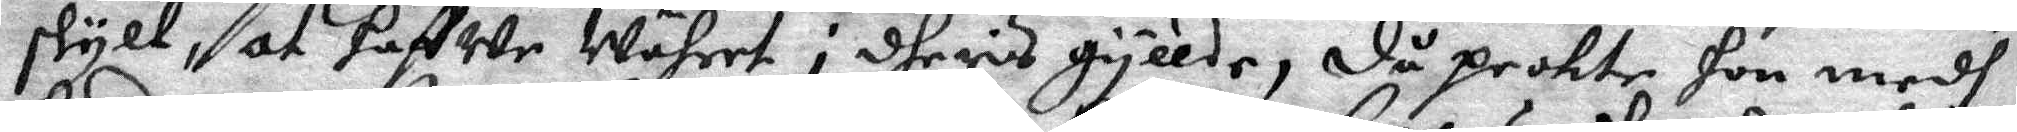skylt, at haffwe Währet i dheris gyllde, då peckte hon medh
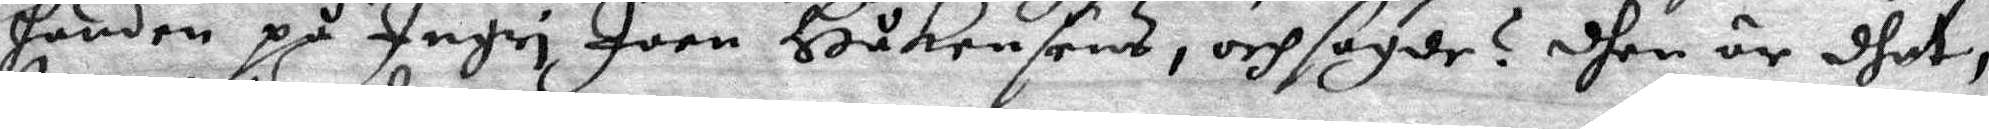handen på Ingri Joen Håkensens, ochsagde? dhen är dhet,
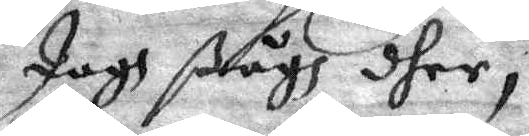Jagh ßågh dher,
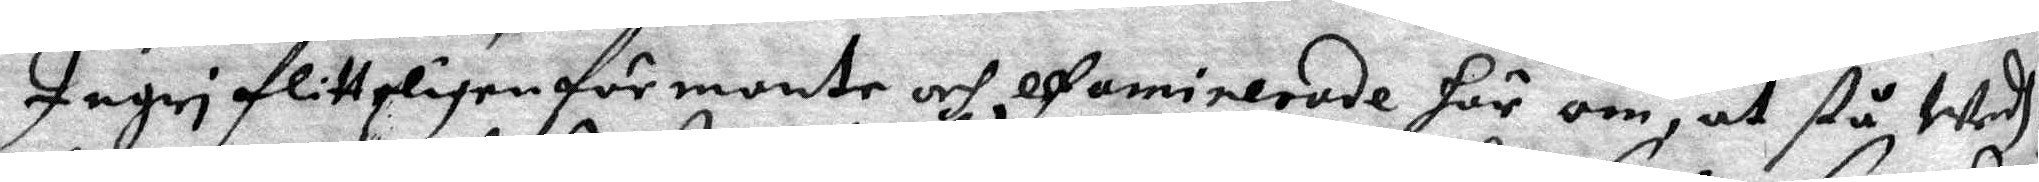Ingri flittgligen förmante och efaminerade här om, at stå Wedh
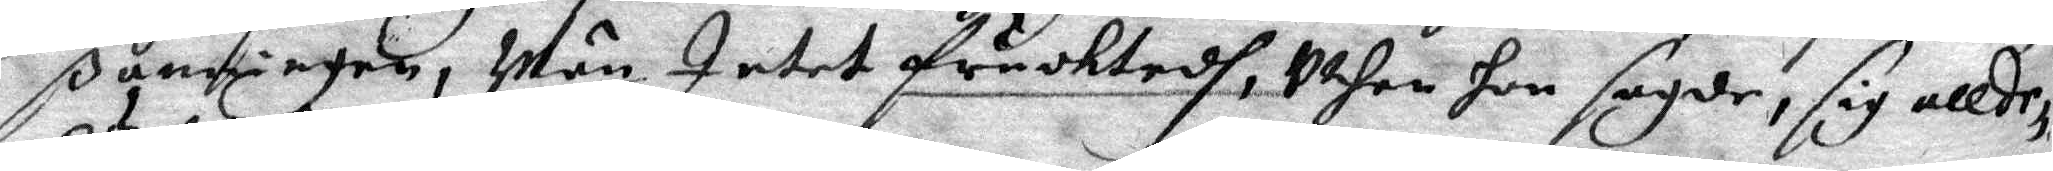ßanningen, Män Intet fruktadh, uthan hon sagde, sig allde¬
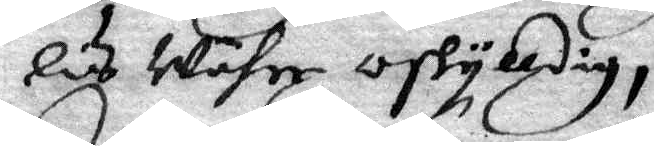Lis Währe oskylldig,
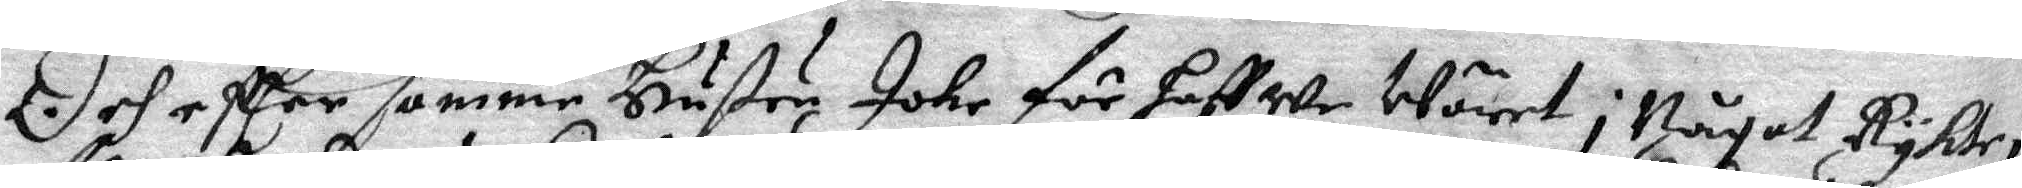Och eftter samme Hustru Johr för haffwe Wäret i Något Rykte
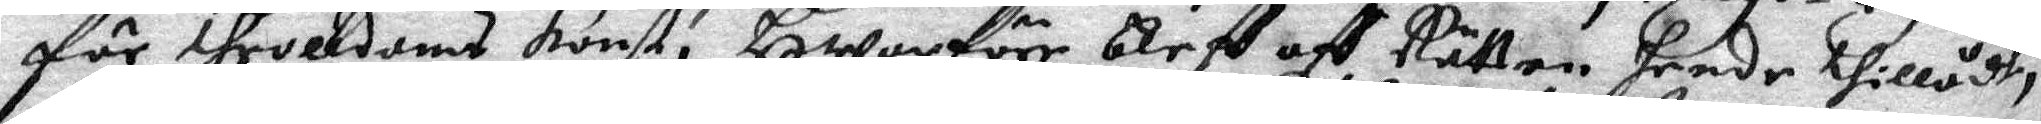för throlldoms konst, Hwarföre bleff aff Rätten hende Tillådt,
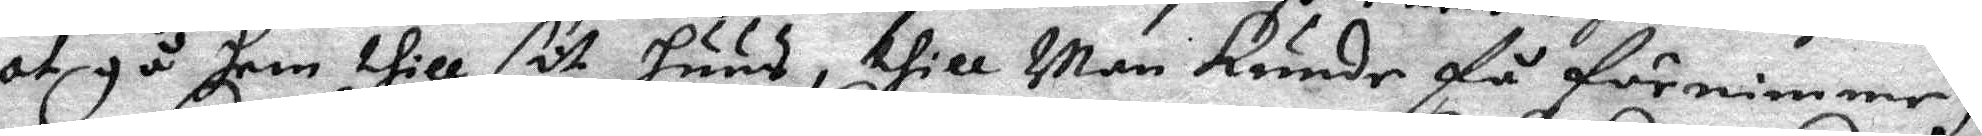at gå hem thill sit huus, thill Man Kunde få förnimme,
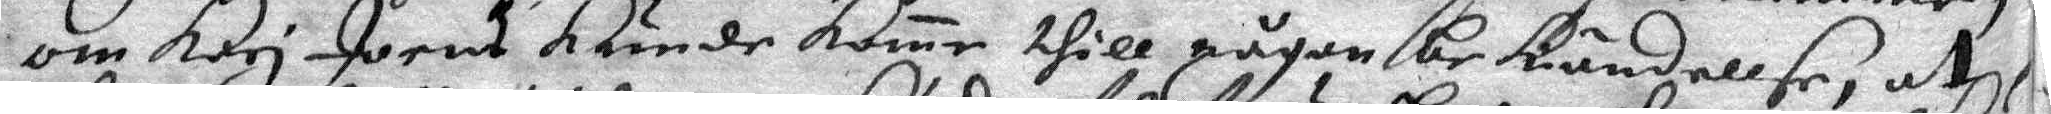om Kari Joens Kunde kome thill någon bekändellse, uthi
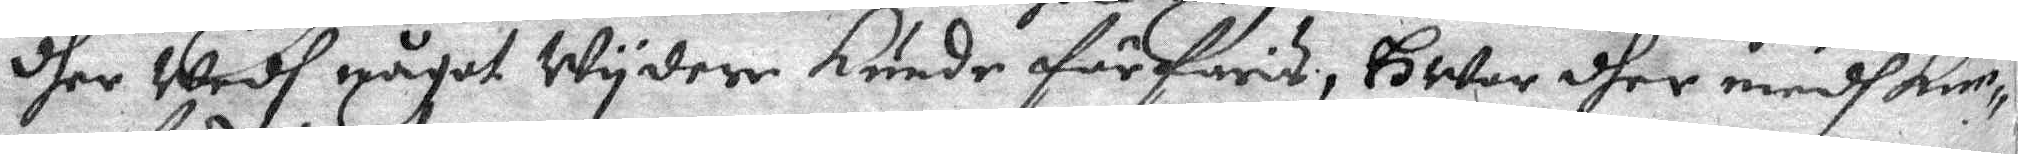dher Wedh något Wydere kunde förfaras, Hwar dher medh kun¬
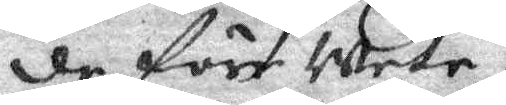de förr Wete,
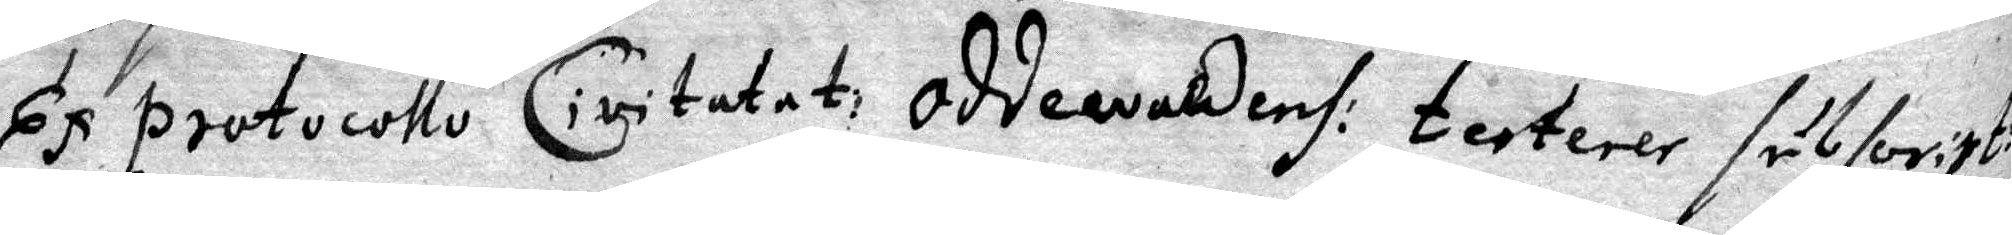Ex Protocollo Civitatat: oddewaldens: terterer sil for:pt:
